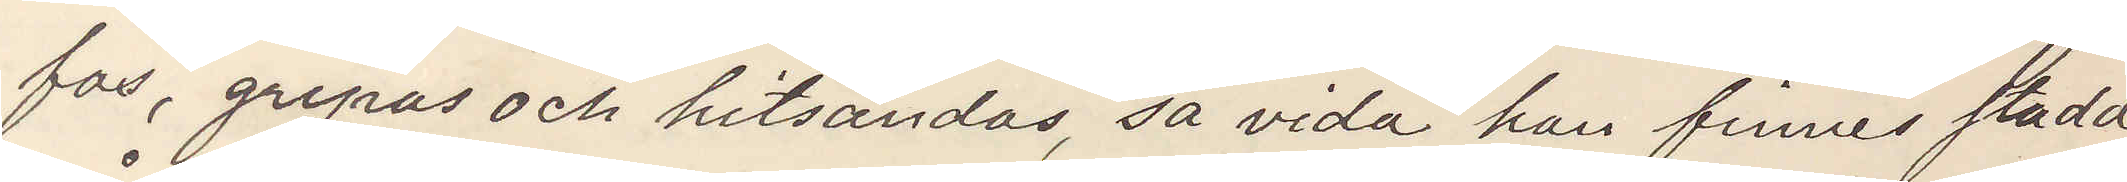as, gripas och hitsändas så vida han finnes stadd
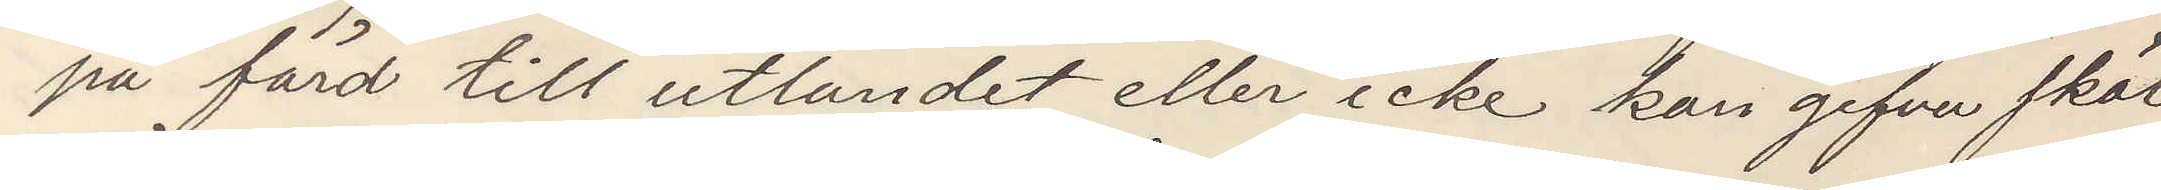på färd till utlandet eller icke kan gifva skäl
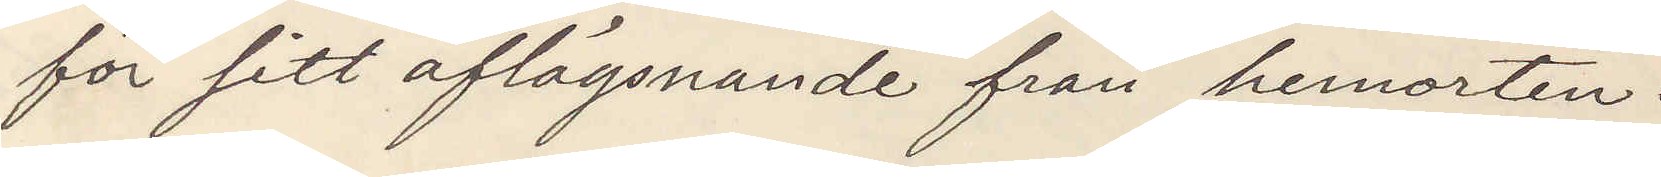för sitt aflägsnande från hemorten.
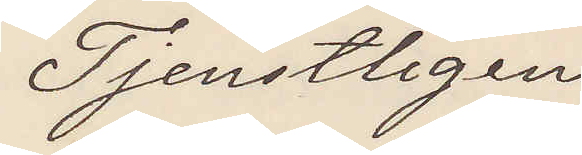Tjenstligen
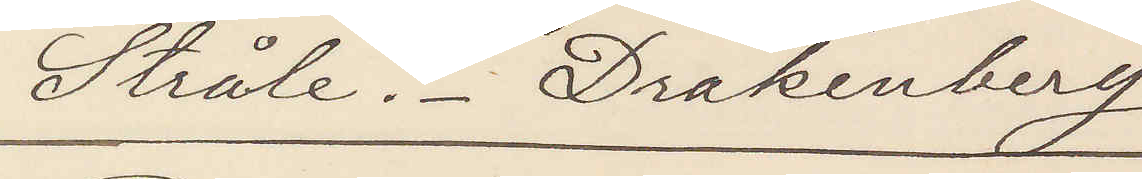Stråle. Drakenberg
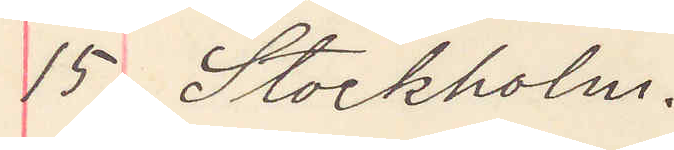15 Stockholm.
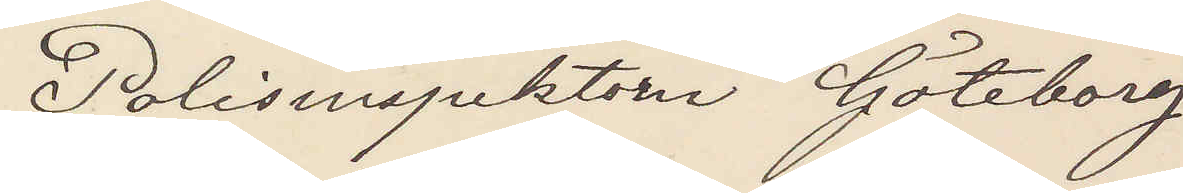Polisinspektorn Göteborg
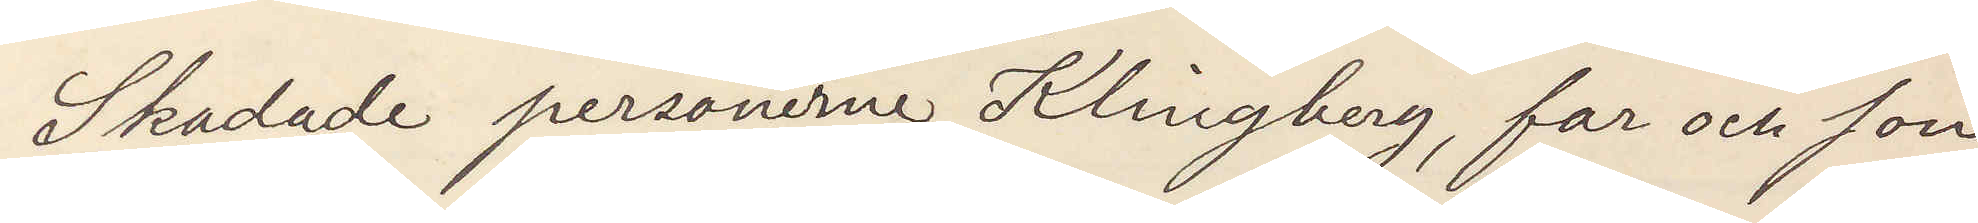Skadade personerne Klingberg, far och son,
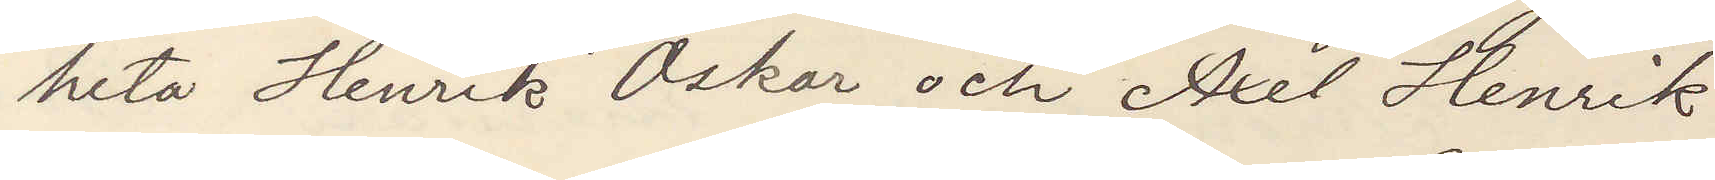heta Henrik Oskar och Axel Henrik.
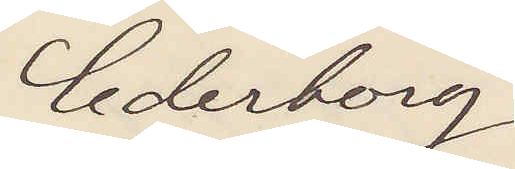Cederborg.
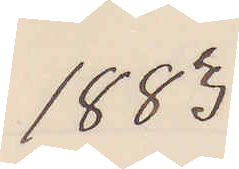1883
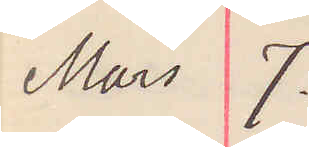Mars 7.
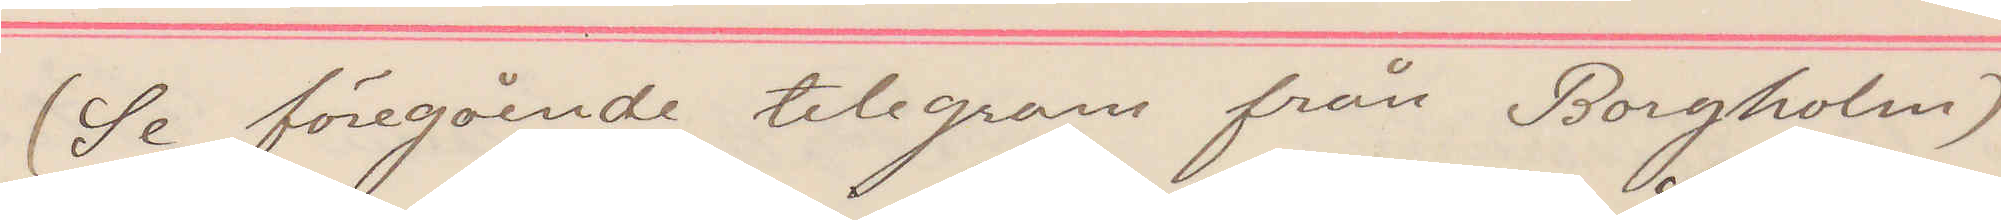(Se föregående telegram från Borgholm)
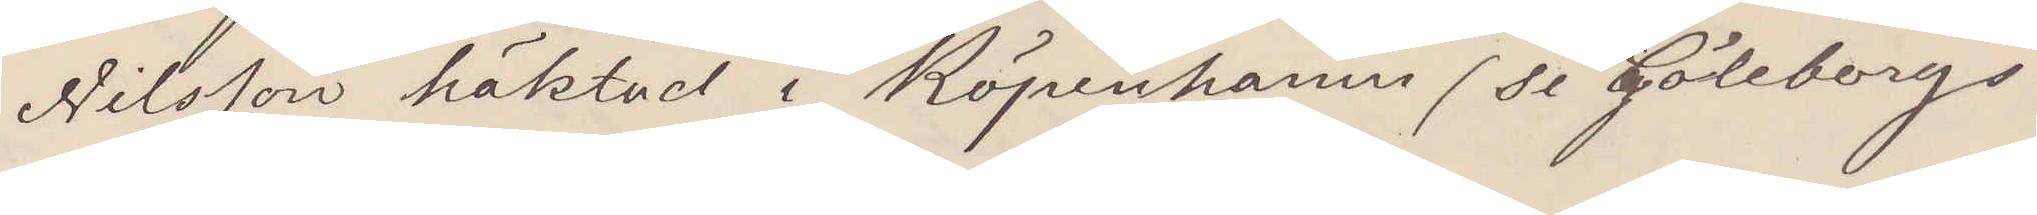Nilsson häktad i Köpenhamn (se Göteborgs¬
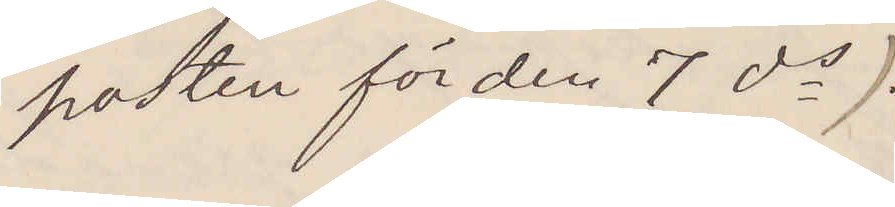posten för den 7 ds)
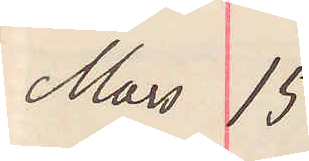Mars 15
